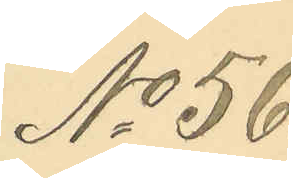No 56.
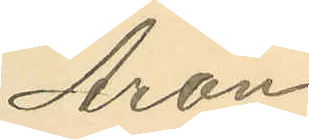Aron
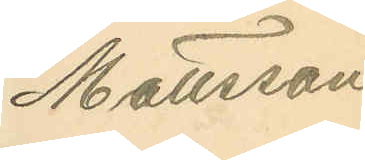Mattsson
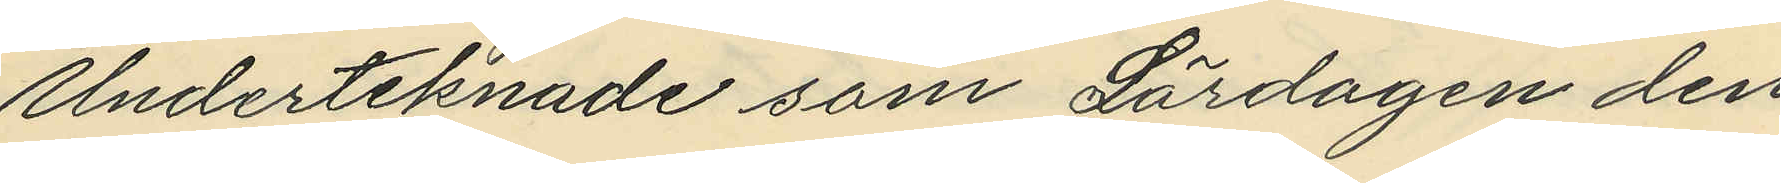Underteknade som Lördagen den 
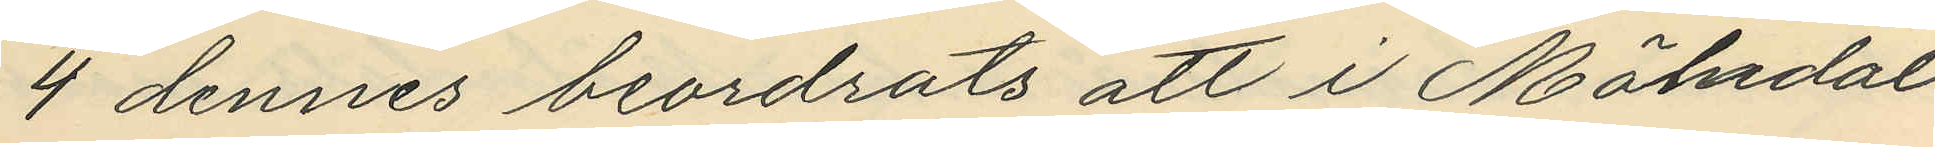4 dennes beordrats att i Mölndal
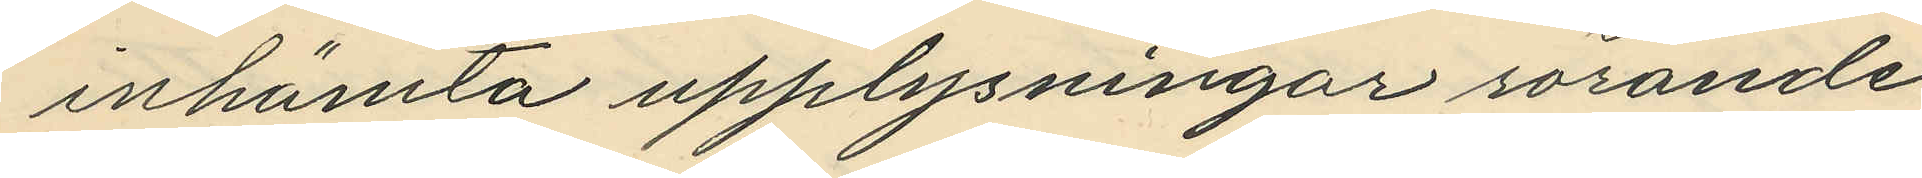inhämta upplysningar rörande
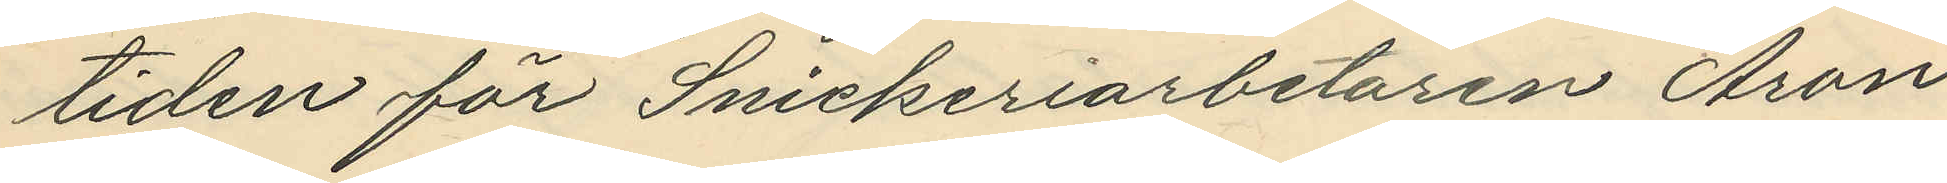tiden för Snickeriarbetaren Aron
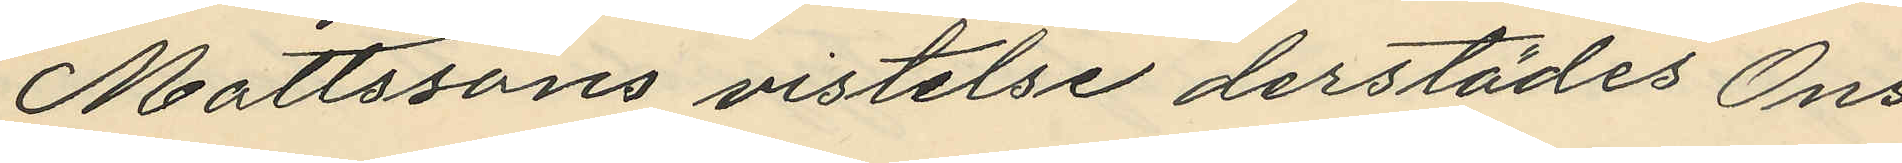Mattssons vistelse derstädes Ons¬
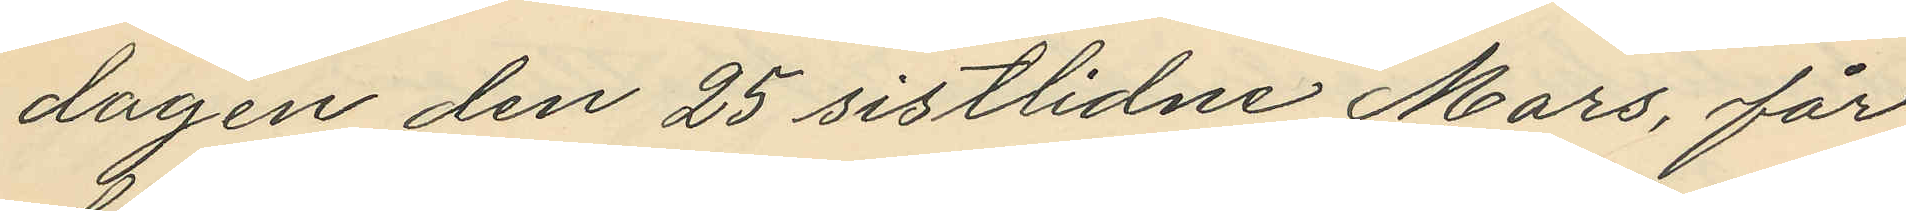dagen den 25 sistlidne Mars, får
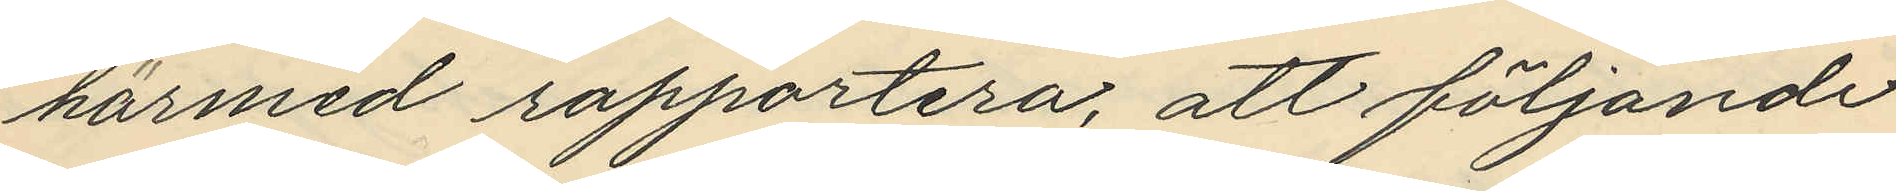härmed rapportera, att följande
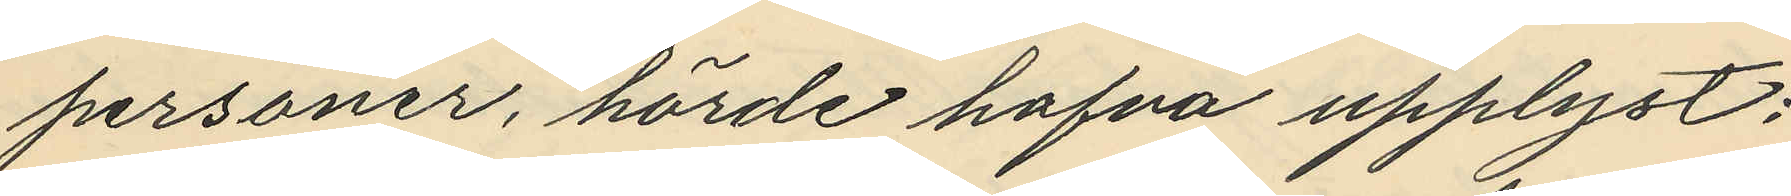personer, hörde hafva upplyst;
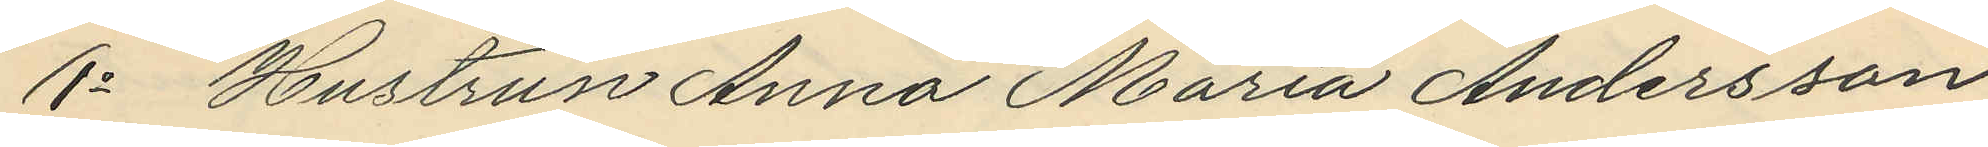1o Hustrun Anna Maria Andersson
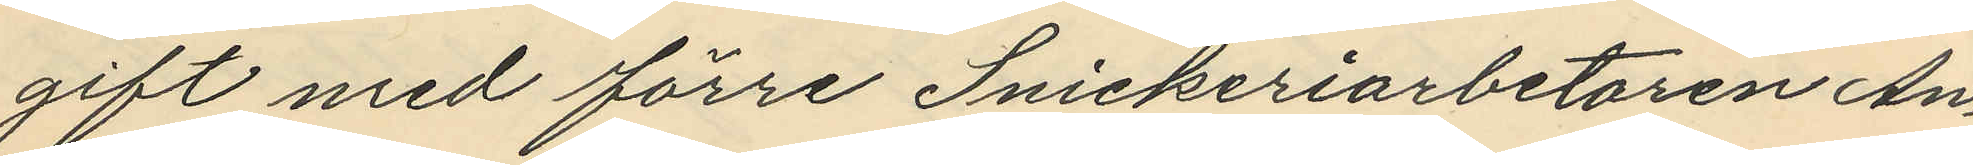gift med förre Snickeriarbetaren An¬
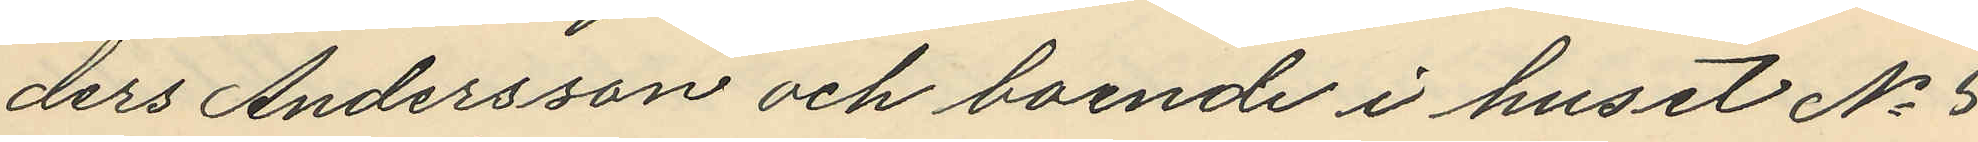ders Andersson och boende i huset No 5
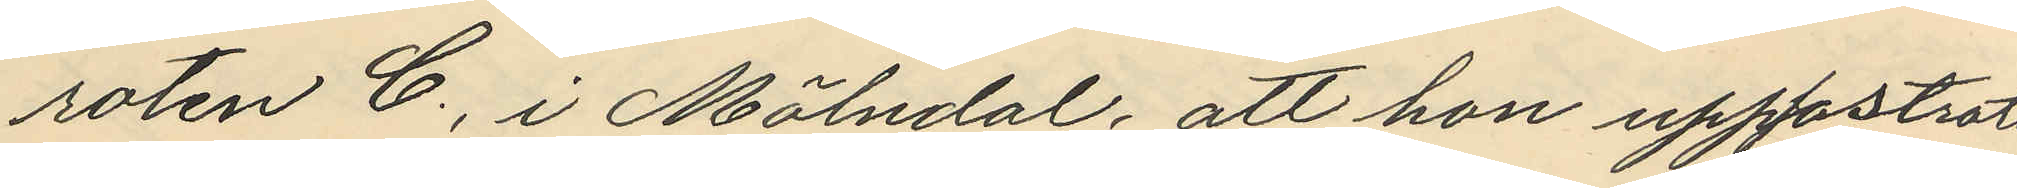roten C., i Mölndal, att hon uppfostrats
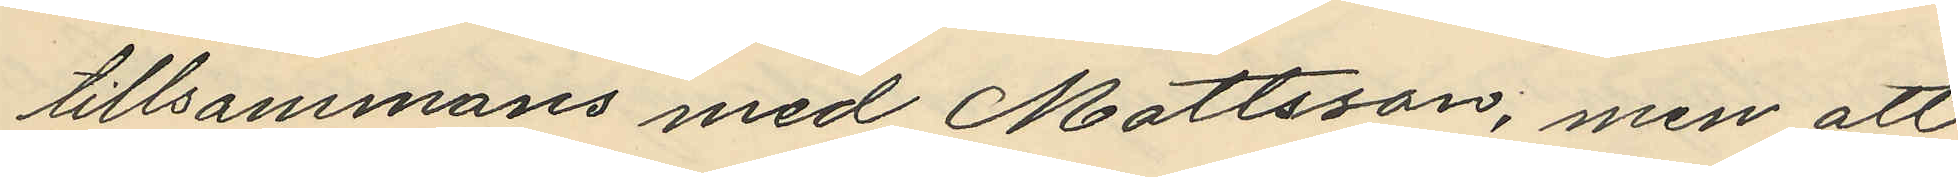tillsammans med Mattsson, men att 
